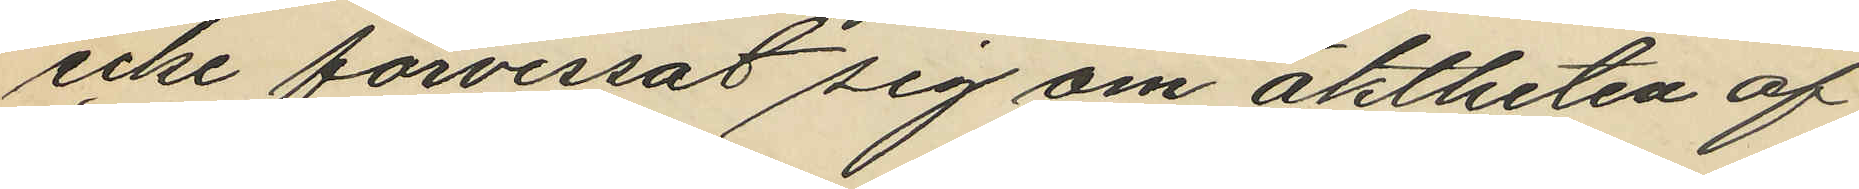icke förvissat sig om äktheten af
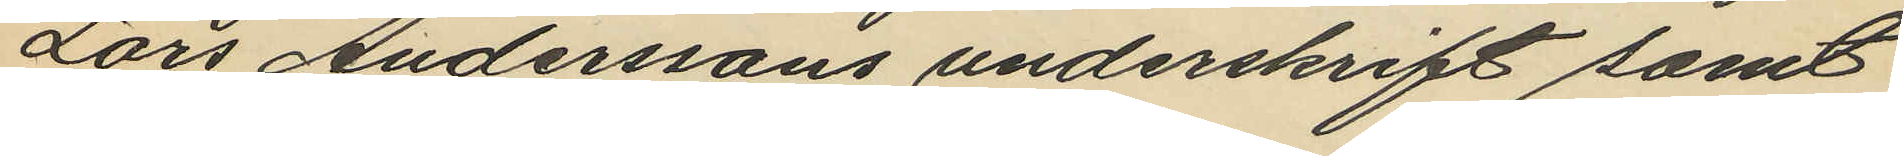Lars Anderssons underskrift samt
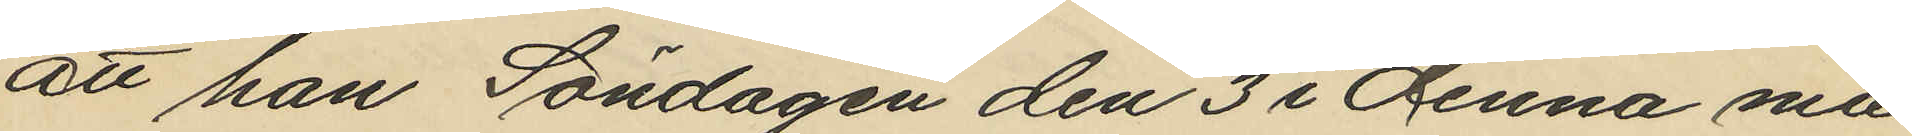att han Söndagen den 3 i denna må¬
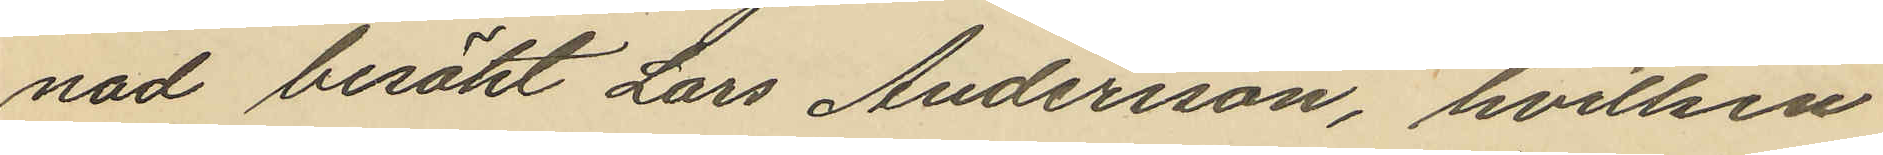nad besökt Lars Andersson, hvilken
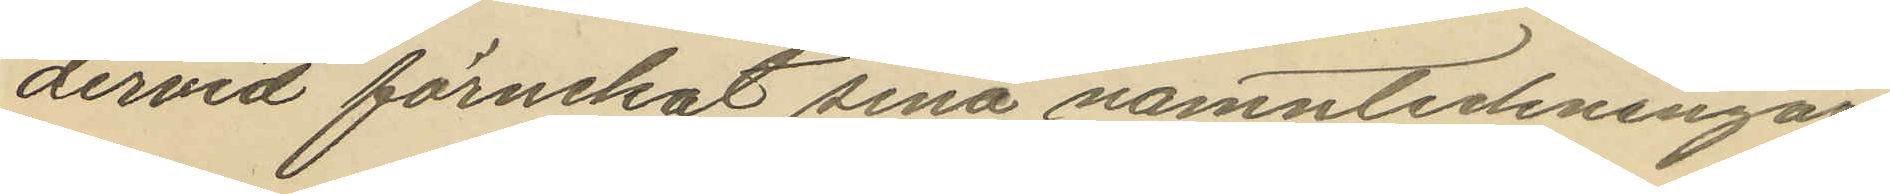dervid förnekat sina namnteckningar
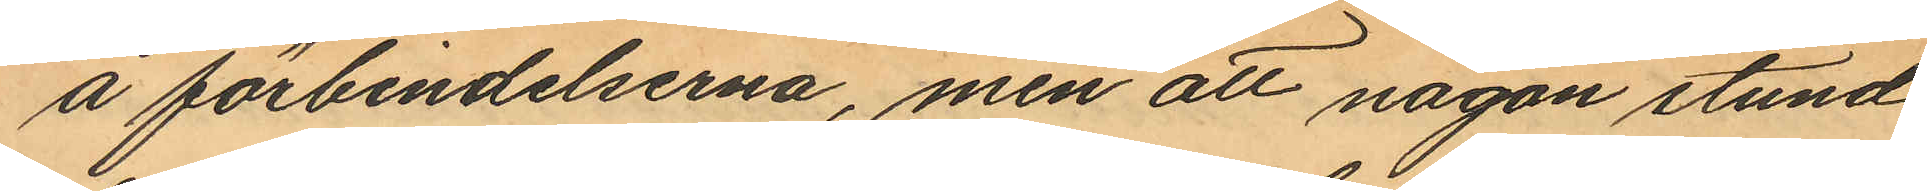å förbindelserna, men att någon stund
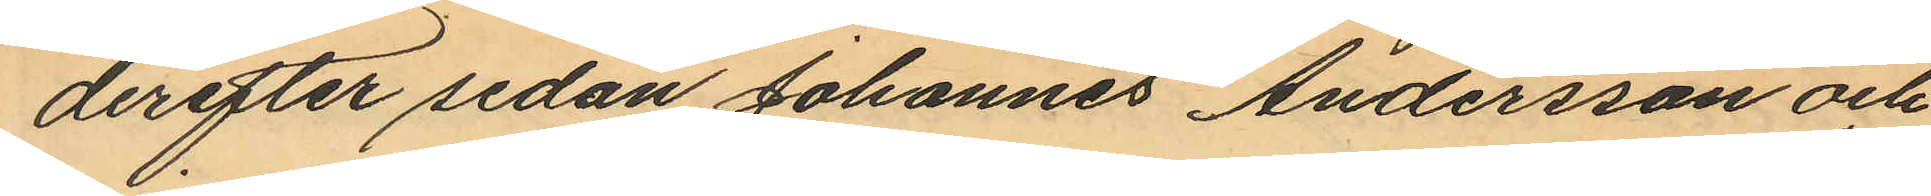derefter sedan Johannes Andersson och
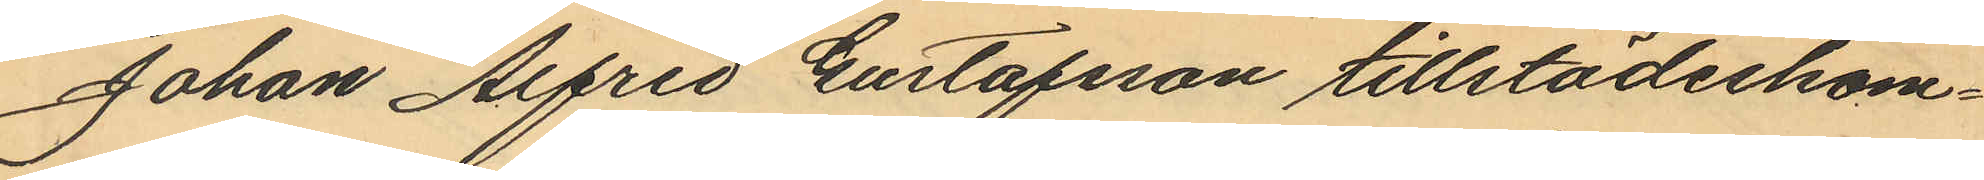Johan Alfred Gustafsson tillstädeskom¬
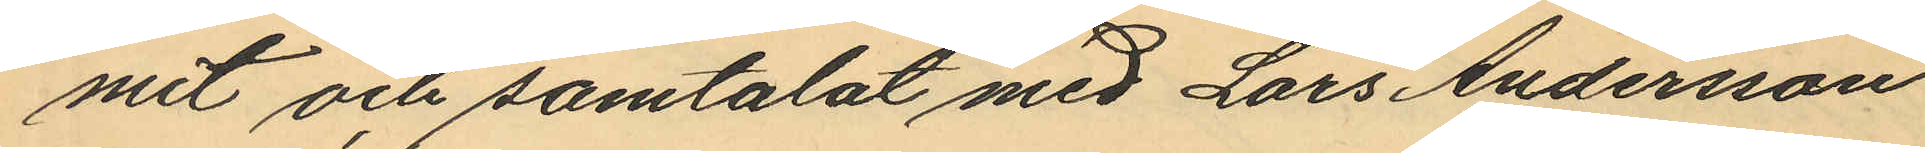mit och samtalat med Lars Andersson
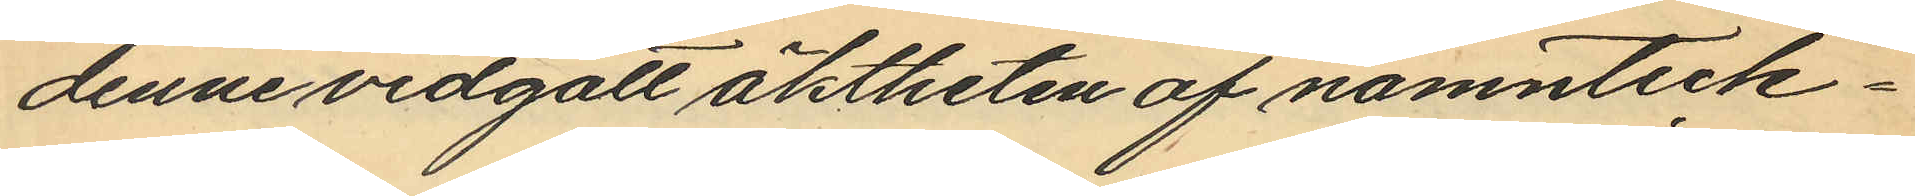denne vidgått äktheten af namnteck¬
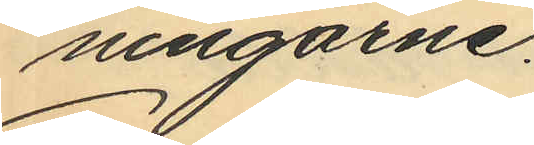ningarne.
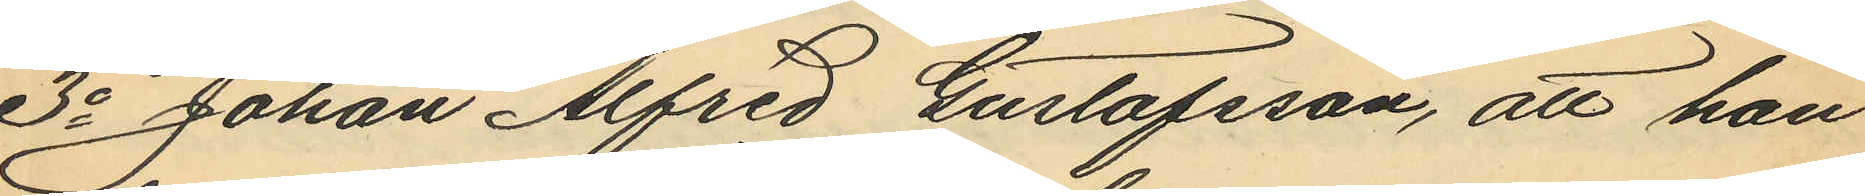3o Johan Alfred Gustafsson, att han
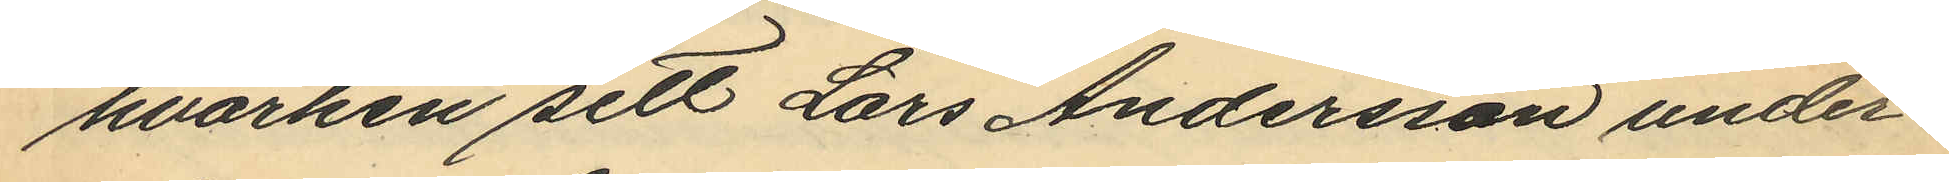hvarken sett Lars Andersson under¬
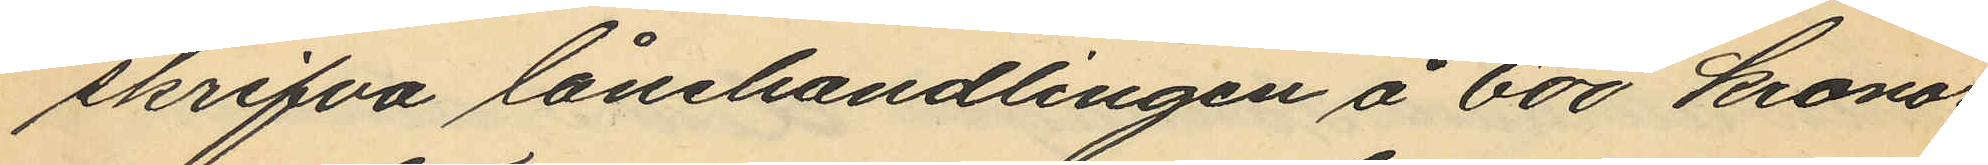skrifva lånehandlingen å 600 kronor
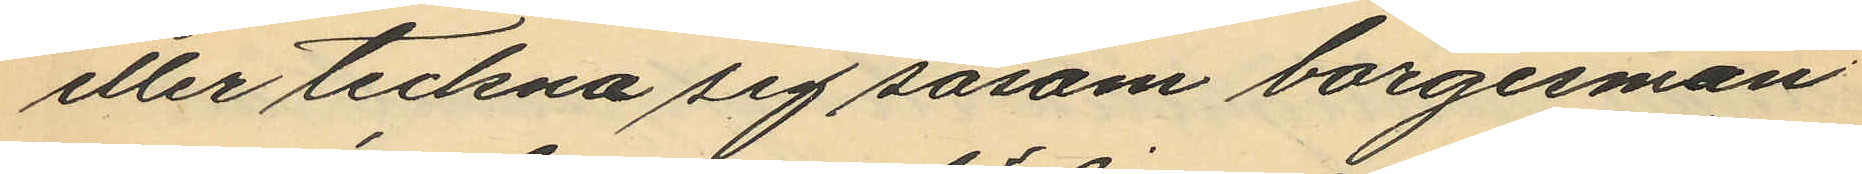eller teckna sig såsom borgesman
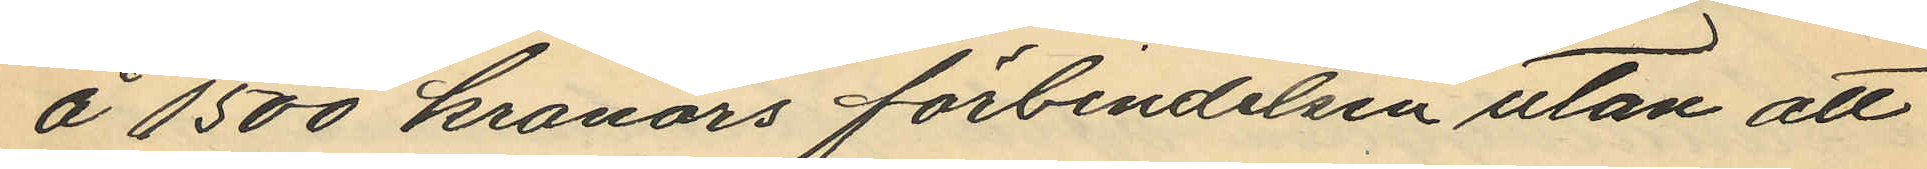å 1500 kronors förbindelsen utan att
